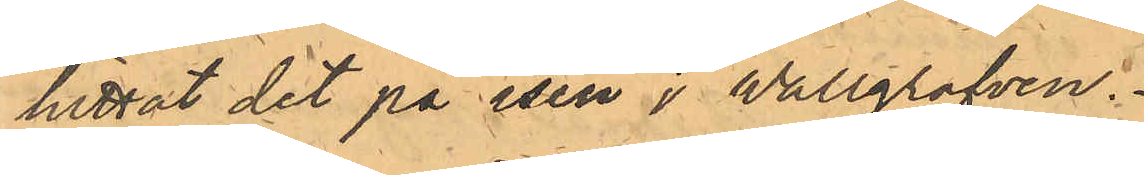hittat det på isen i Vallgrafven.
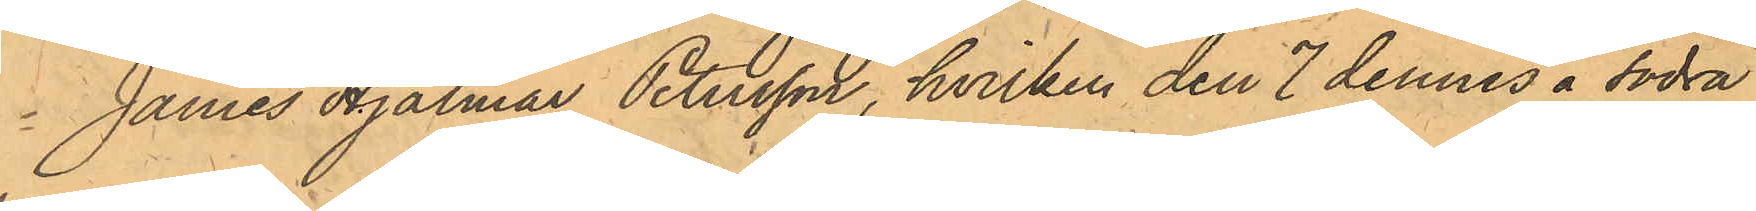James Hjalmar Petersson, hvilken den 7 dennes å Södra
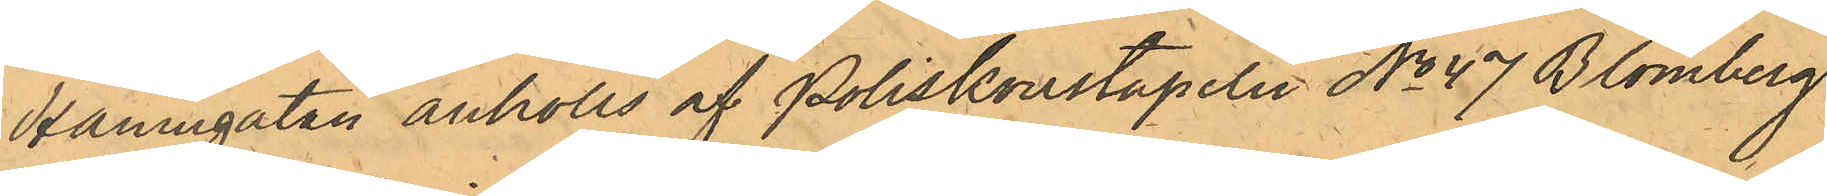Hamngatan anhölls af Poliskonstapeln No 47 Blomberg
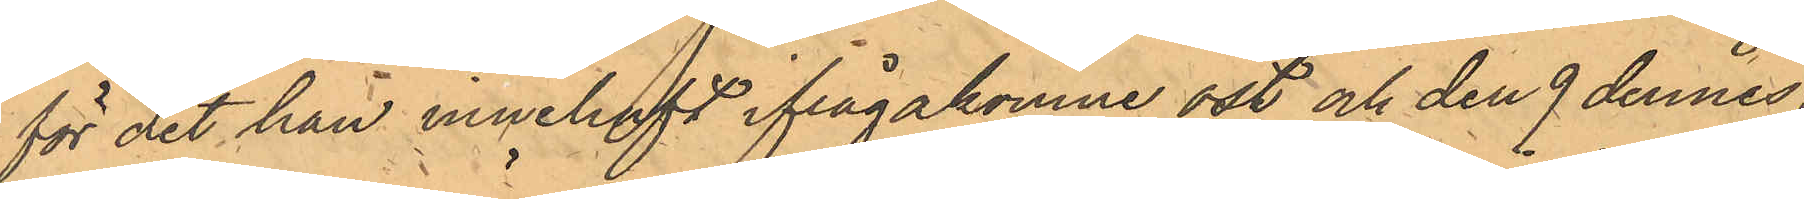för det han innehaft ifrågakomne ost och den 9 dennes,
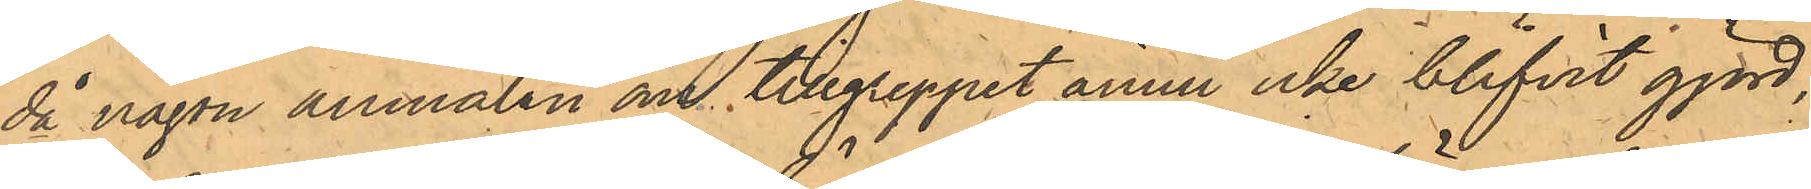då någon anmälan om tillgreppet ännu icke blifvit gjord,
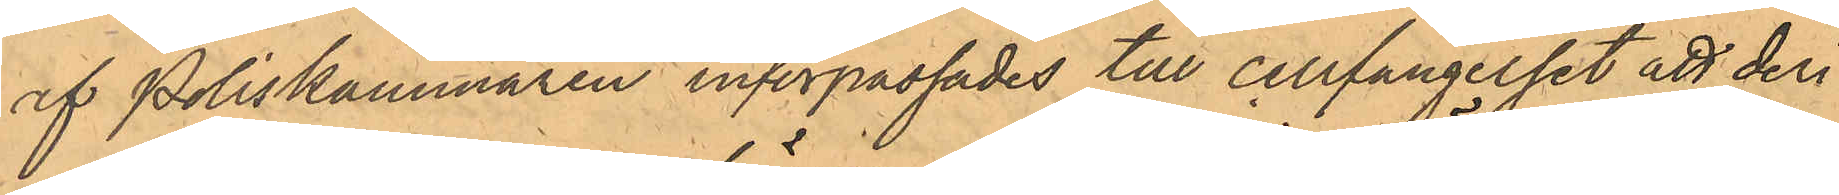af Poliskammaren införpassades till cellfängelset att deri¬
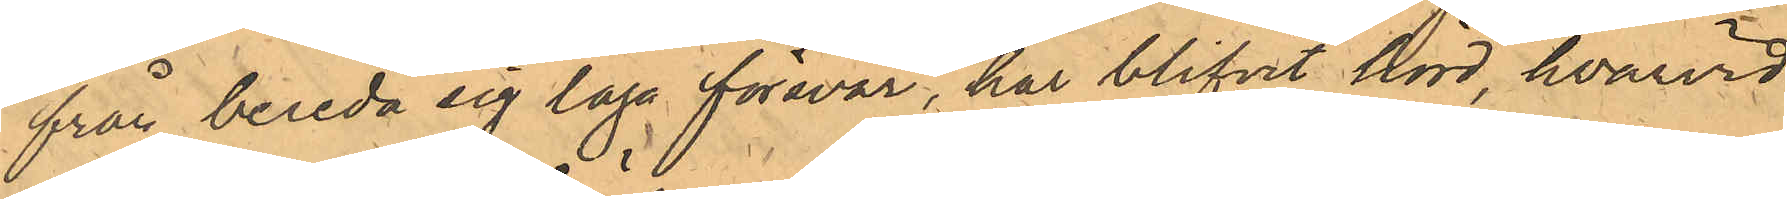från bereda sig laga försvar, har blifvit hörd, hvarvid
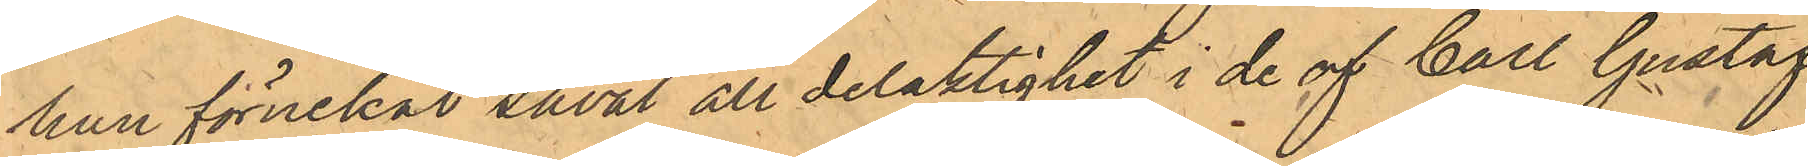han förnekat såväl all delaktighet i de af Carl Gustaf
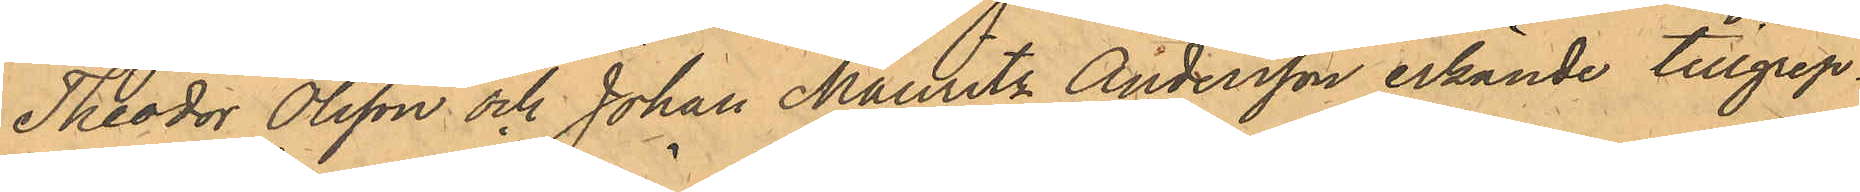Theodor Olsson och Johan Mauritz Andersson erkände tillgrep¬
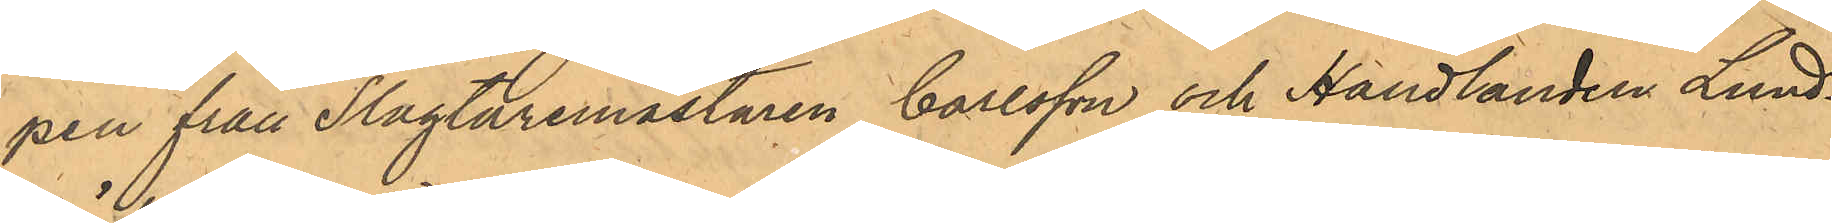pen från Slagtaremästaren Carlsson och Handlanden Lund¬
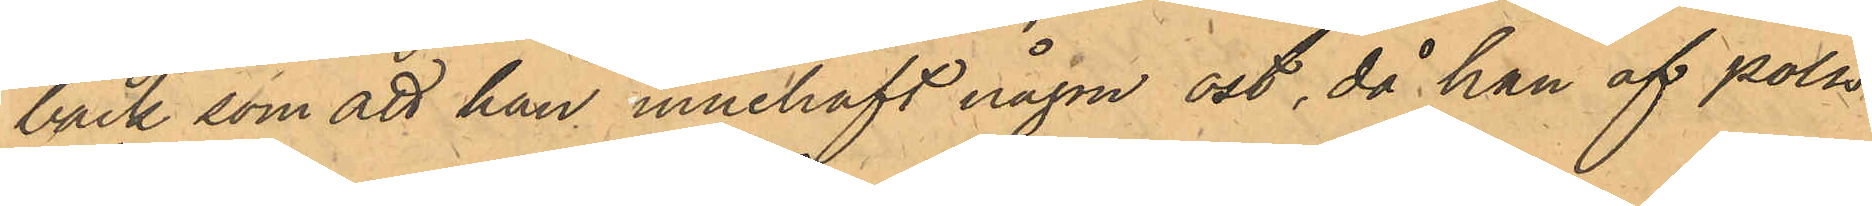bäck som att han innehaft någon ost, då han af polis¬
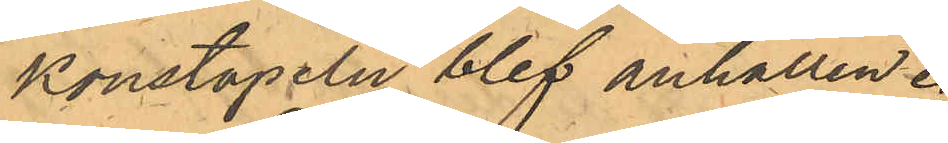konstapeln blef anhållen.
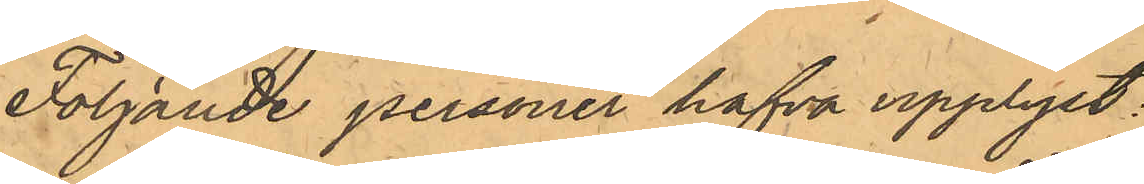Följande personer hafva upplyst:
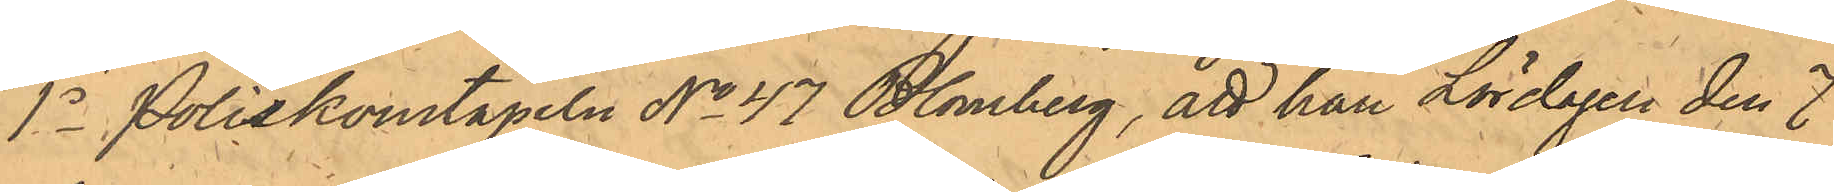1o Poliskonstapeln No 47 Blomberg, att han Lördagen den 7
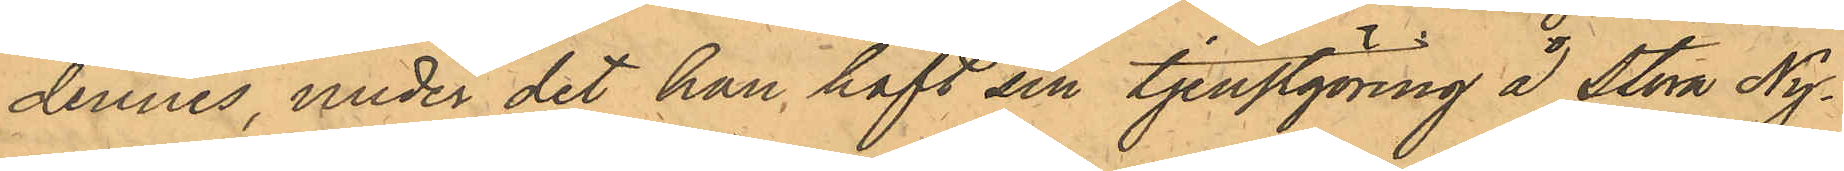dennes, under det han haft sin tjenstgöring å Stora Ny¬
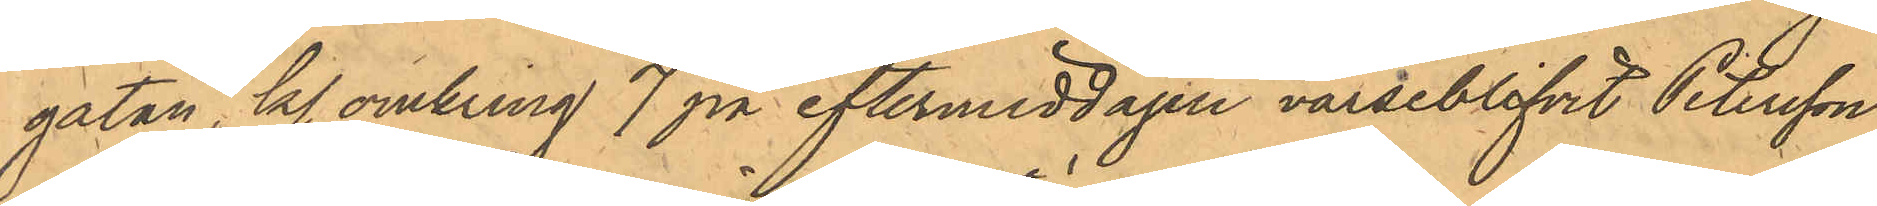gatan, kl. omkring 7 på eftermiddagen varseblifvit Petersson
